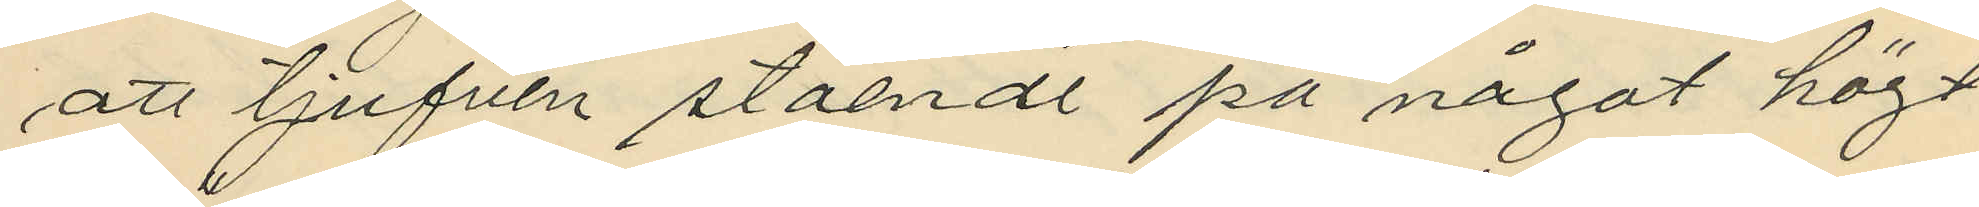att tjufven stående på något högt
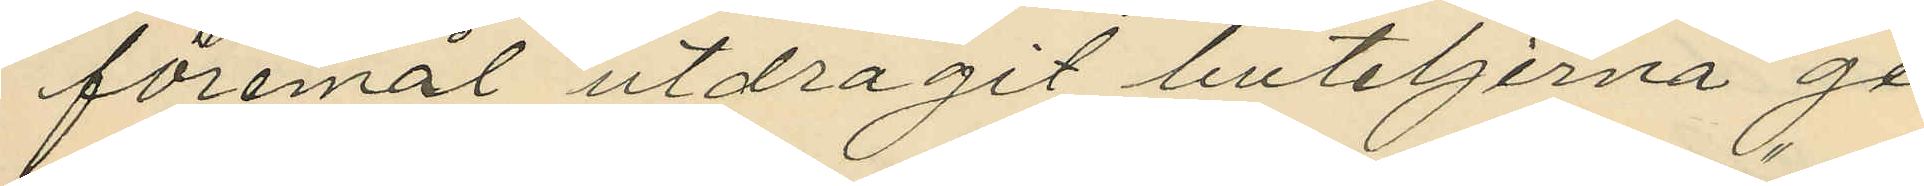föremål utdragit buteljerna ge¬
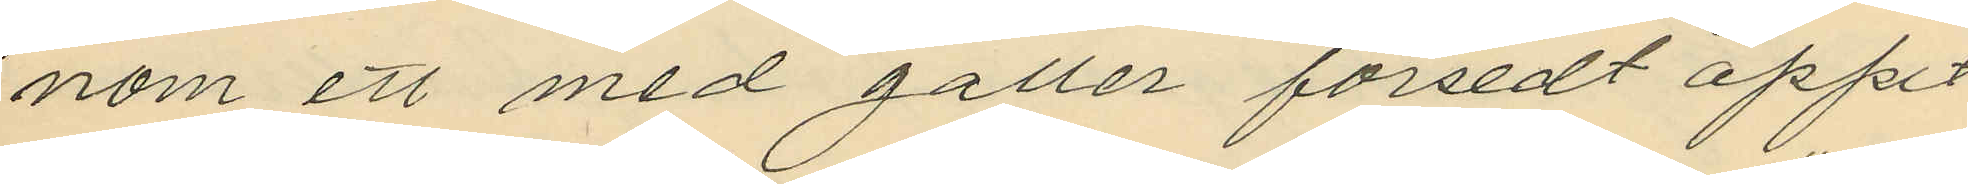nom ett med galler försedt öppet
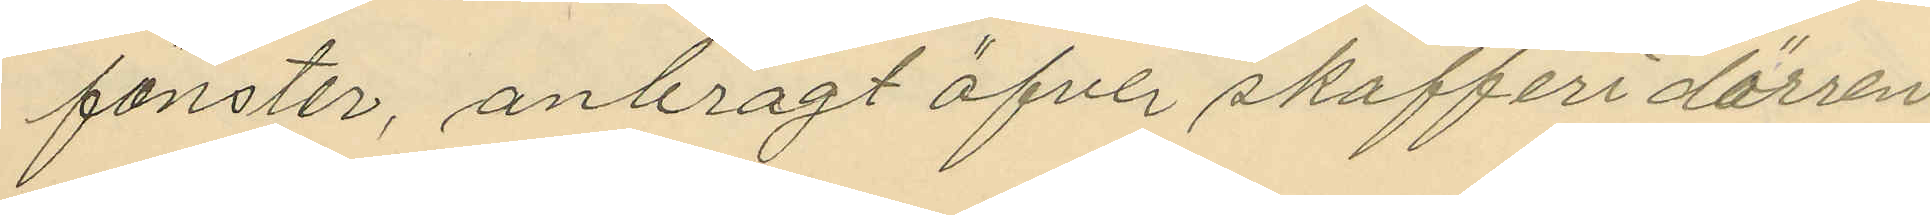fönster, anbragt öfver skafferidörren
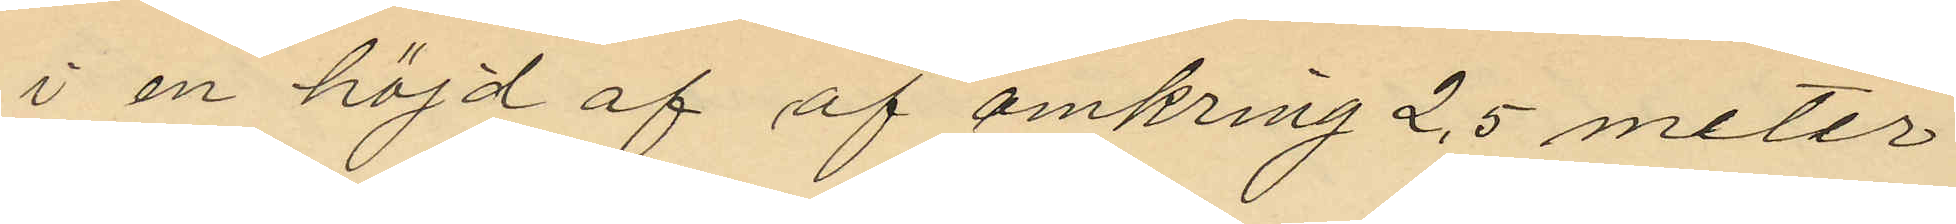i en höjd af af omkring 2,5 meter
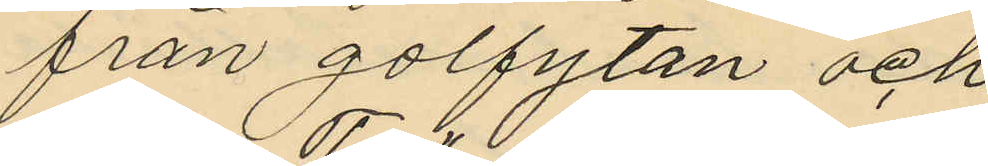från golfytan och
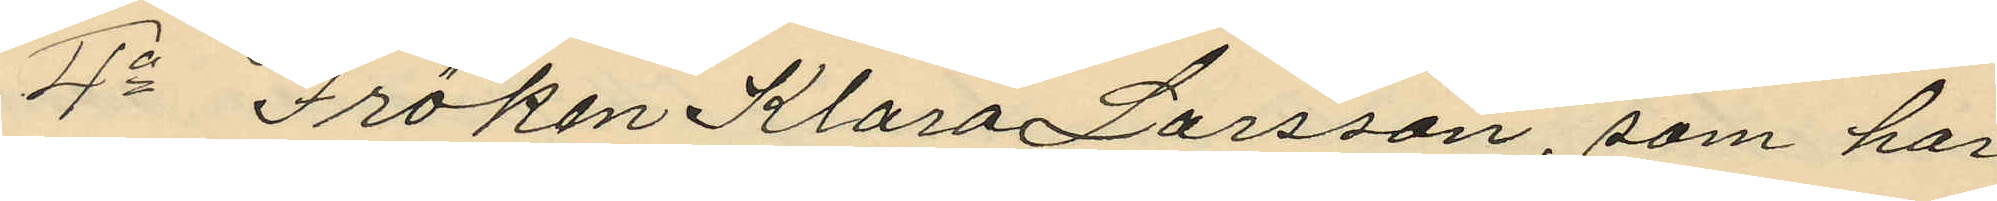4o Fröken Klara Larsson, som har
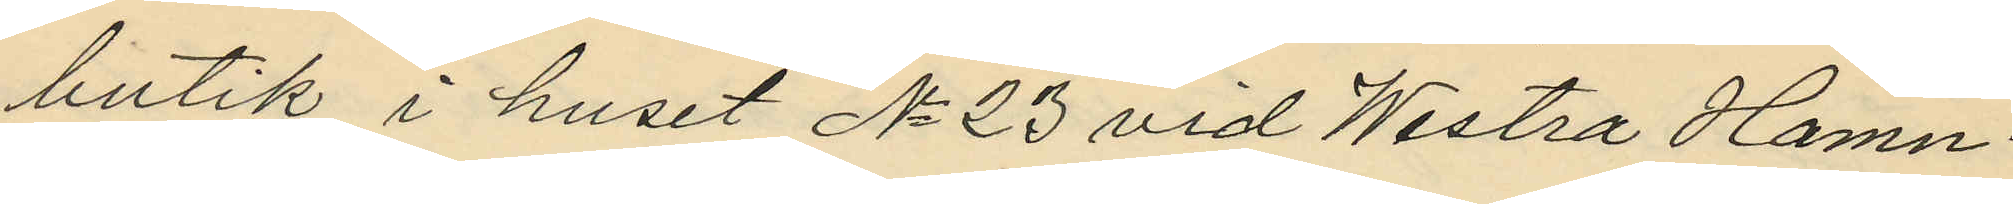butik i huset No 23 vid Westra Hamn¬
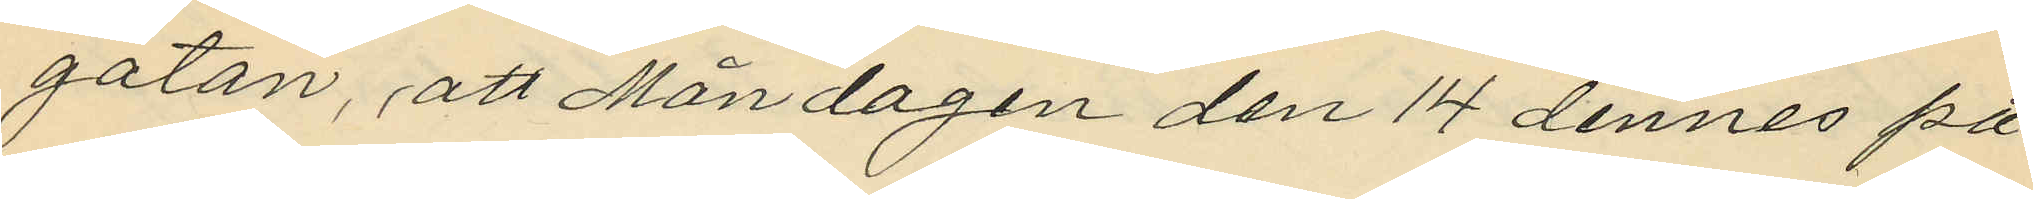gatan, att Måndagen den 14 dennes på
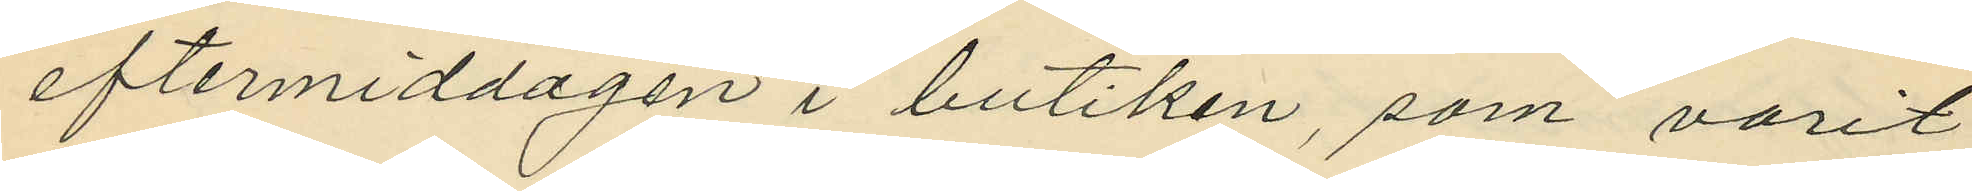eftermiddagen i butiken, som varit
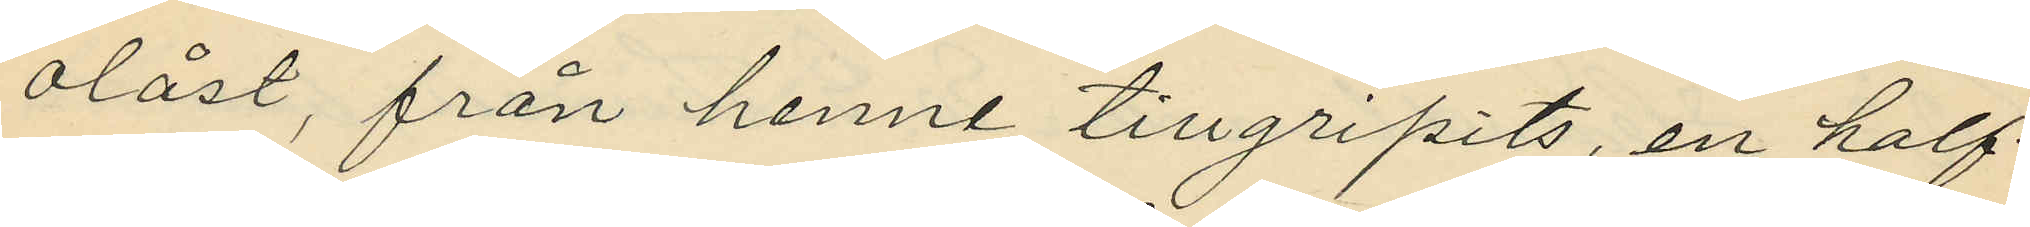olåst, från henne tillgripits, en half¬
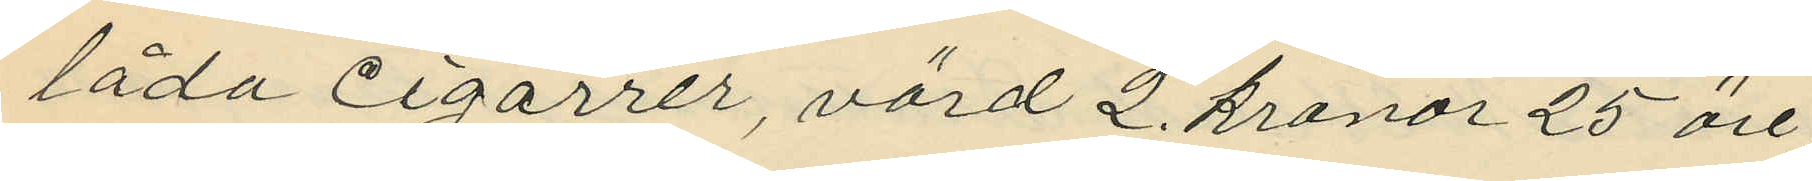låda cigarrer, värd 2. kronor 25 öre,
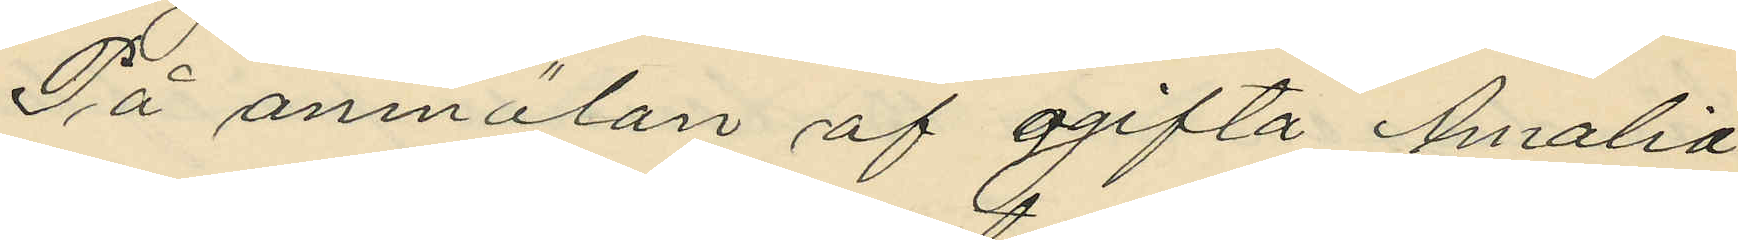På anmälan af ogifta Amalia
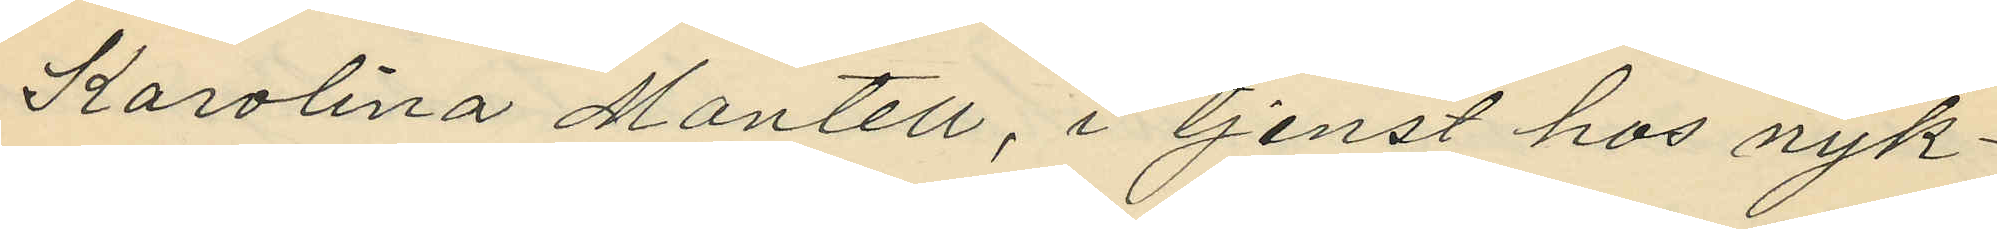Karolina Montell, i tjenst hos nyk¬
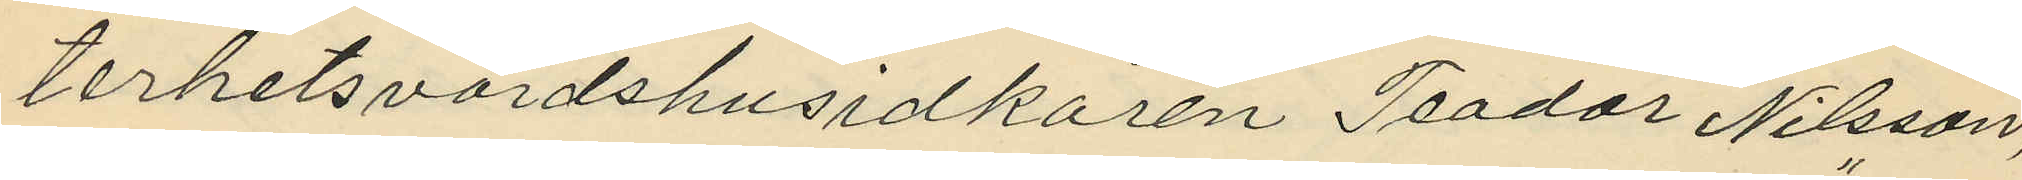terhetsvärdshusidkaren Teodor Nilsson,
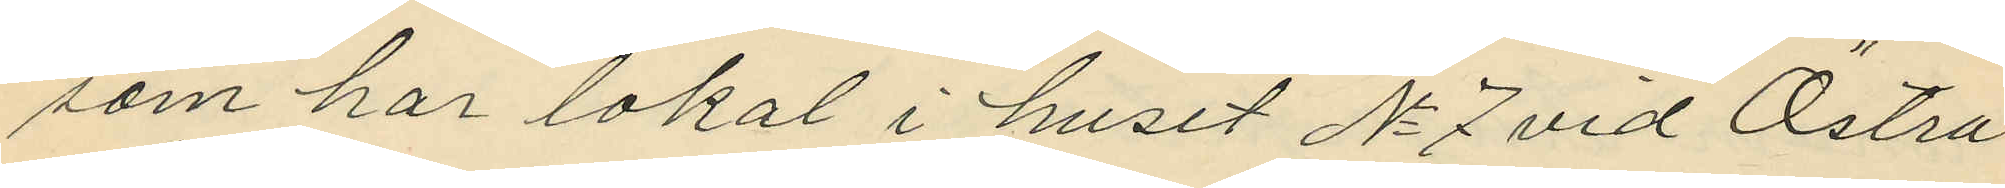som har lokal i huset No 7 vid Östra
